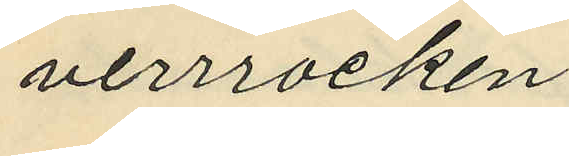verrocken.
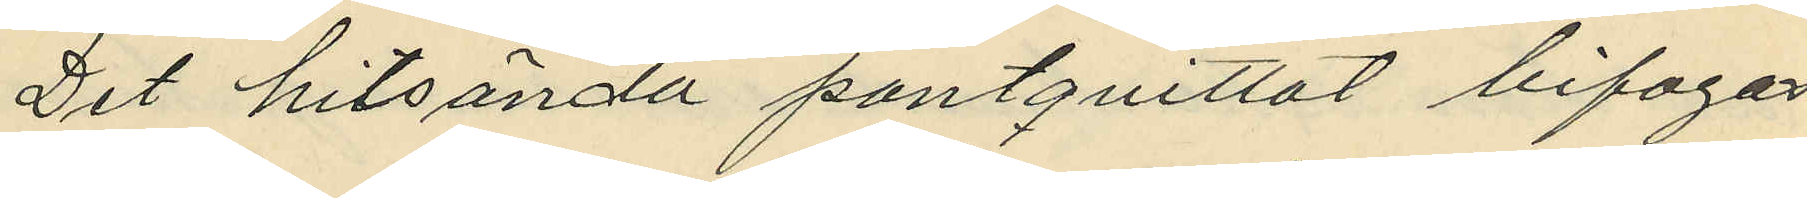Det hitsända pantquittot bifogas.
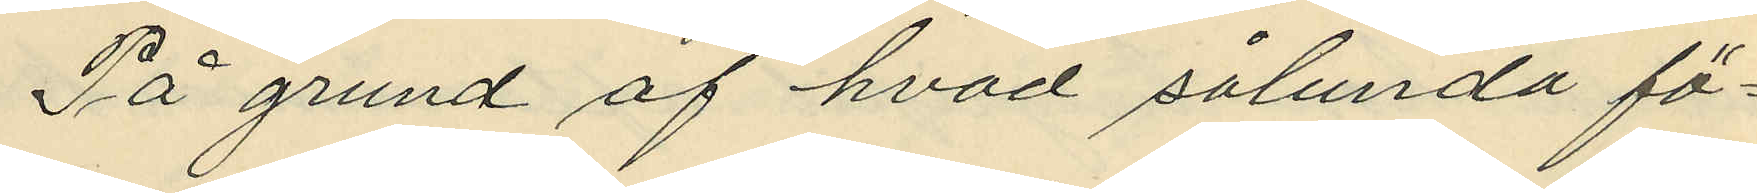På grund av hvad sålunda fö¬
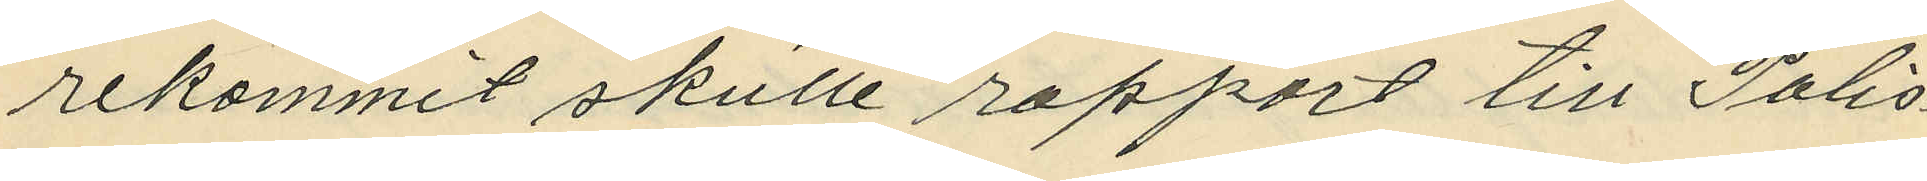rekommit skulle rapport till Polis¬
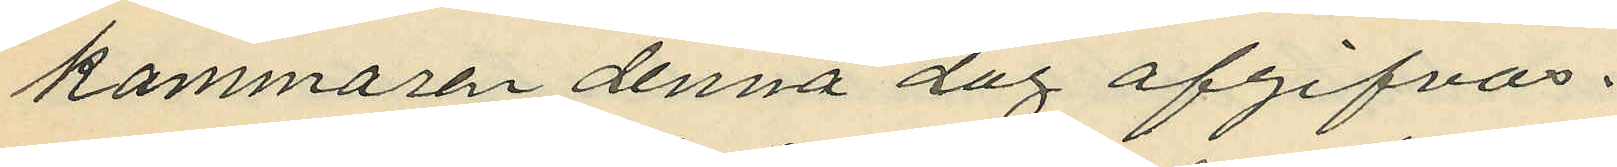kammaren denna dag afgifvas.
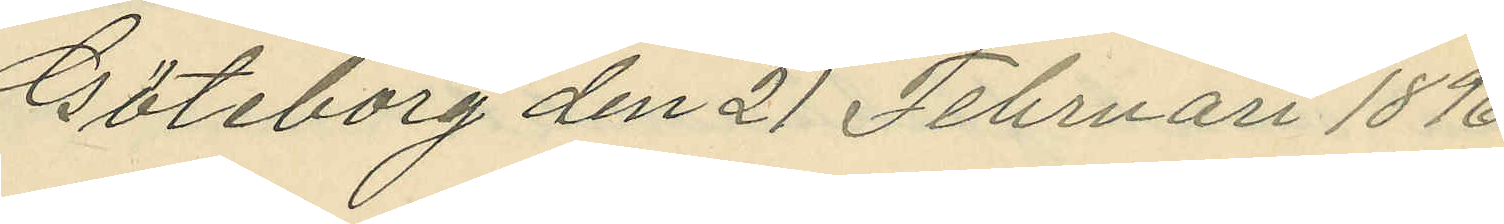Göteborg den 21 Februari 1896.
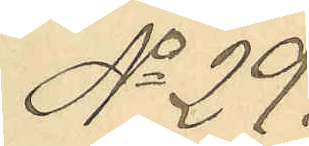No 29
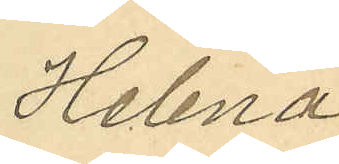Helena
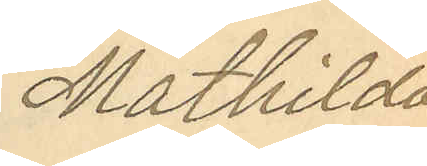Mathilda
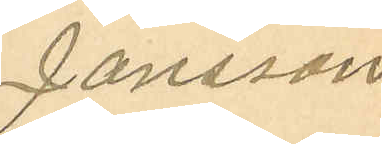Jansson
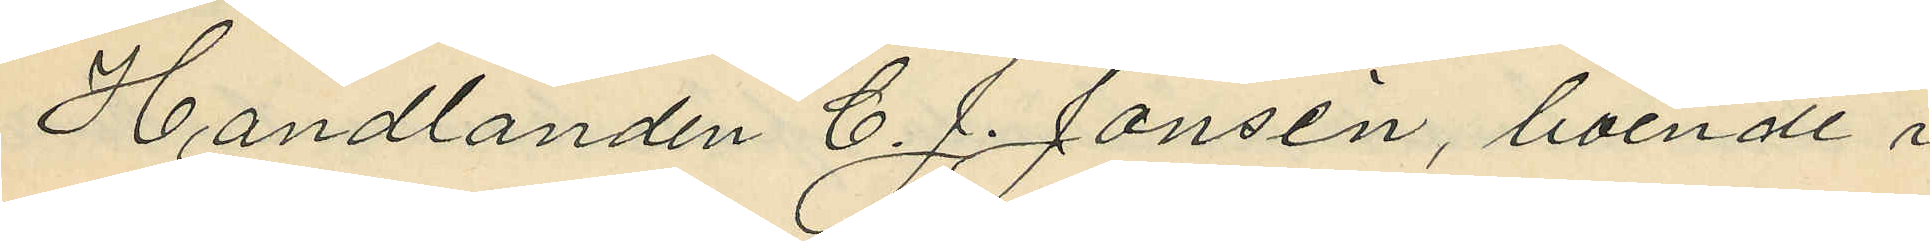Handlanden C. J. Jonsén, boende i
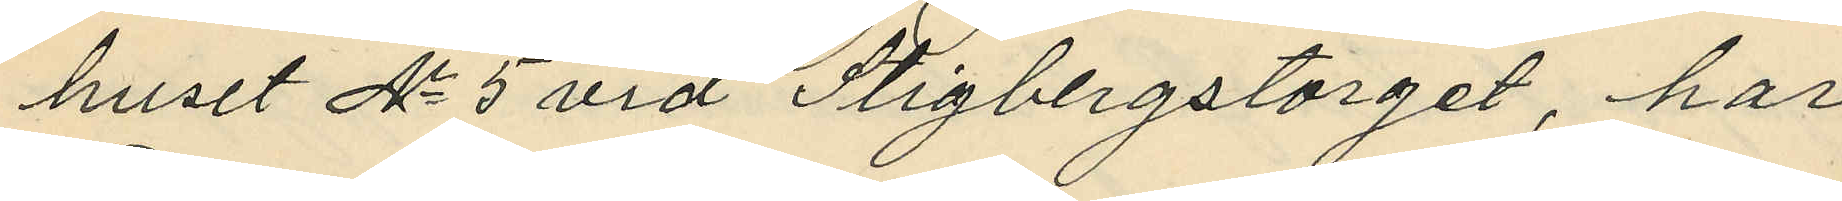huset No 5 vid Stigbergstorget, har
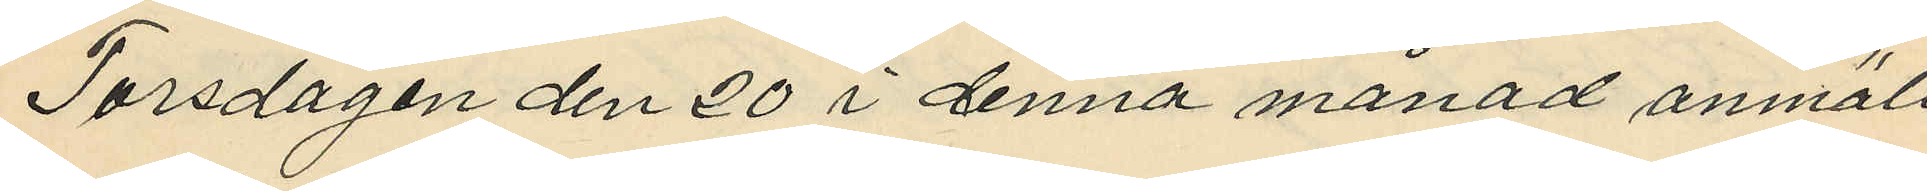Torsdagen den 20 i denna månad anmält,
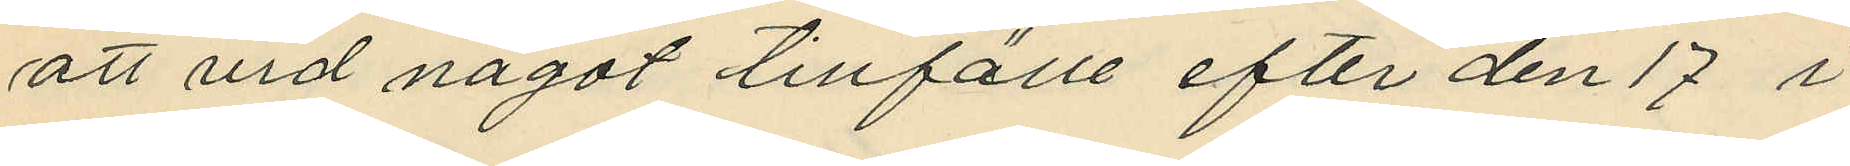att vid något tillfälle efter den 17 i
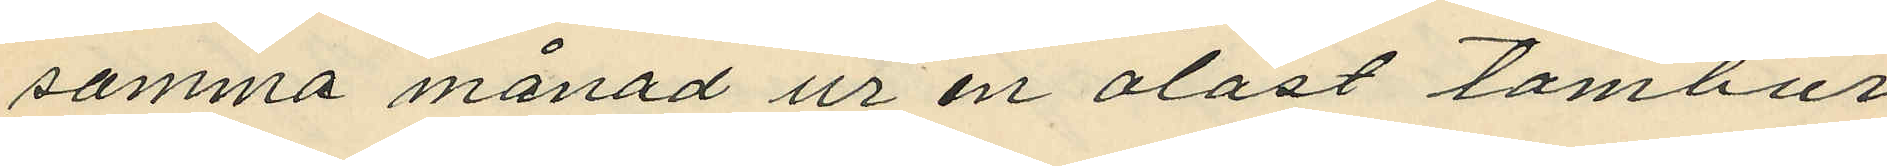samma månad ur en olåst tambur
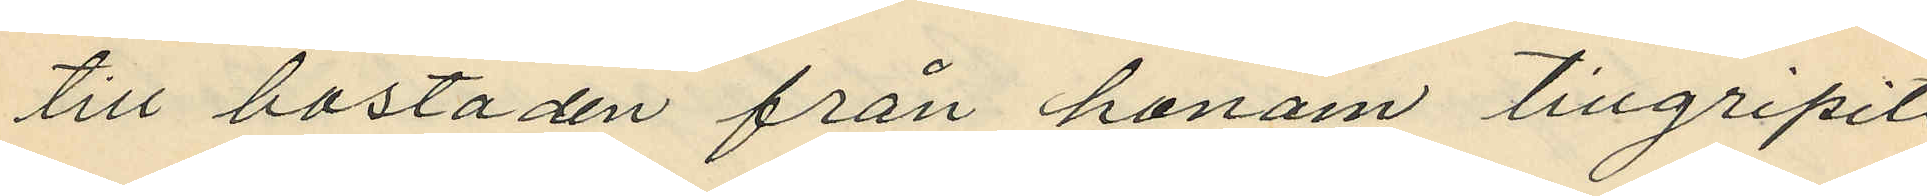till bostaden från honom tillgripits
